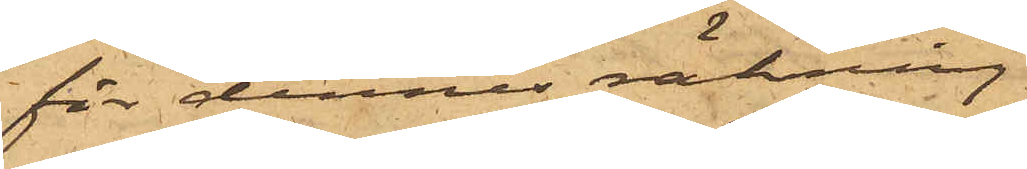för dennes räkning
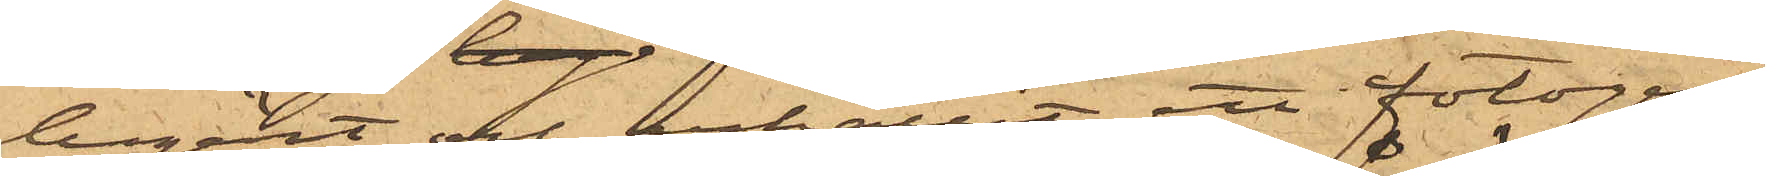begärt och erhållit ett fotogen¬
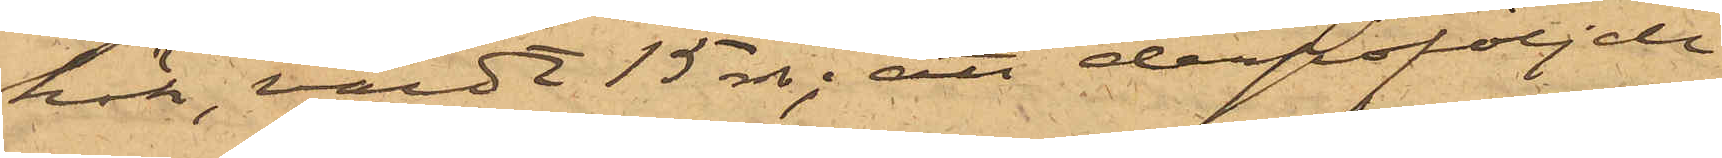kök, värdt 15 rdr; att derpåföljde
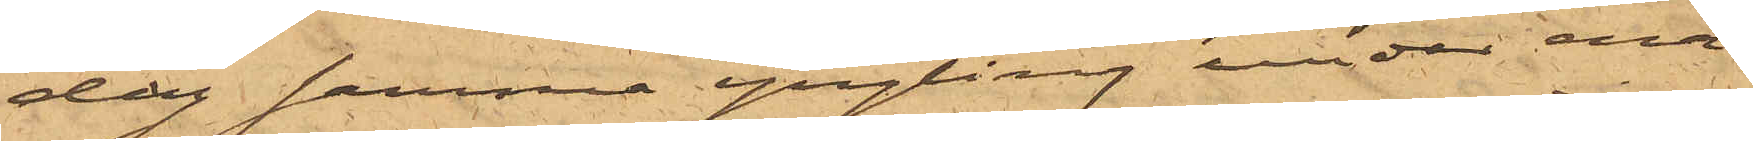dag samma yngling under ena¬
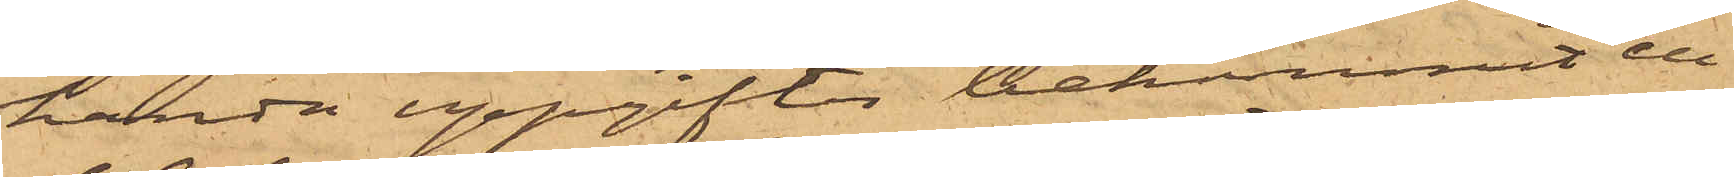handa uppgifter bekommit en
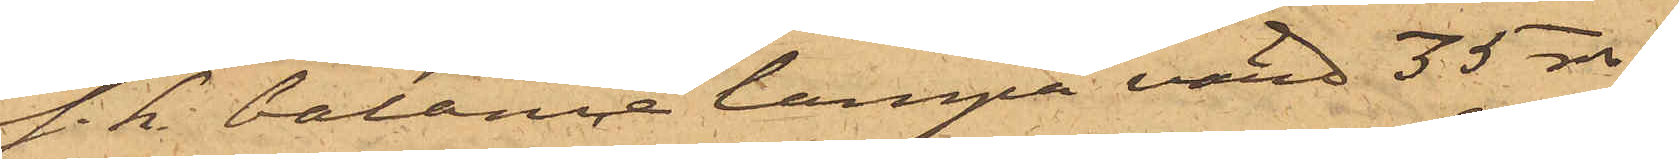s.k. balancelampa värd 35 rdr
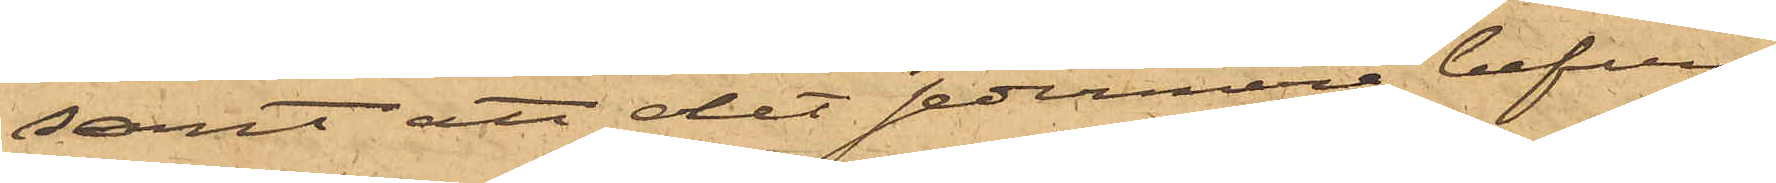samt att det sedermera befun¬
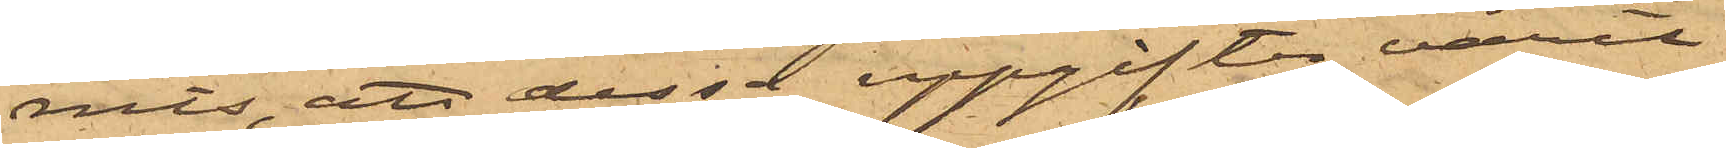nits, att dessa uppgifter varit
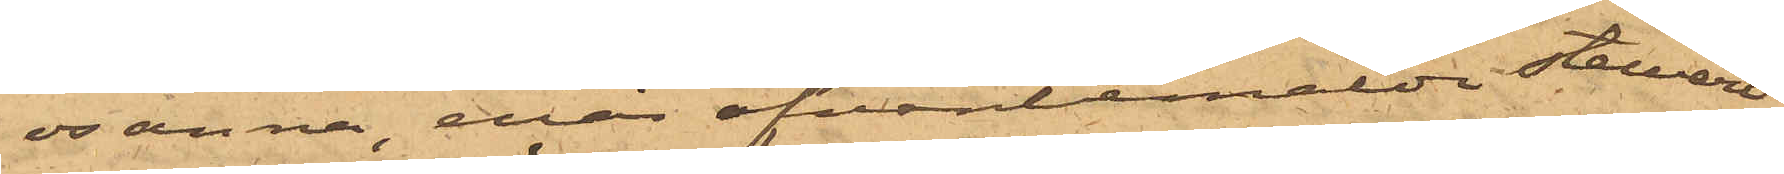osanna, enär ofvanbemälde stewart
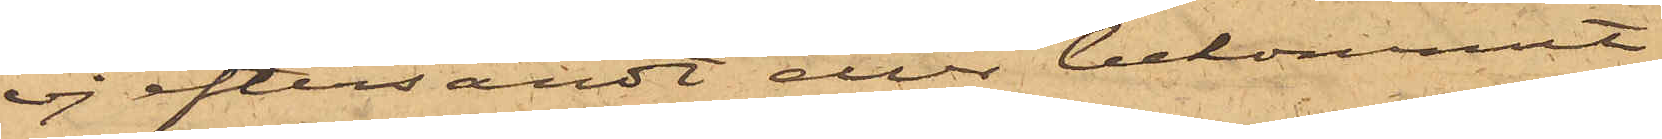ej eftersändt eller bekommit
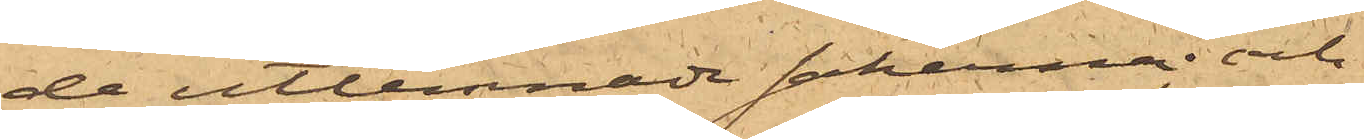de utlemnade sakerna; och
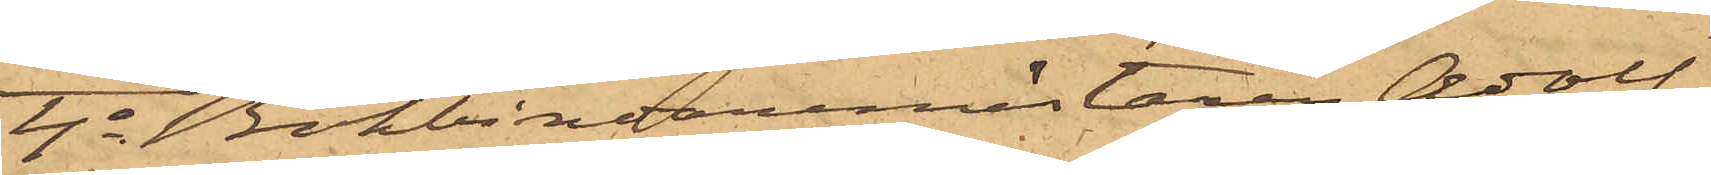4o Bokbindarmästare Adolf
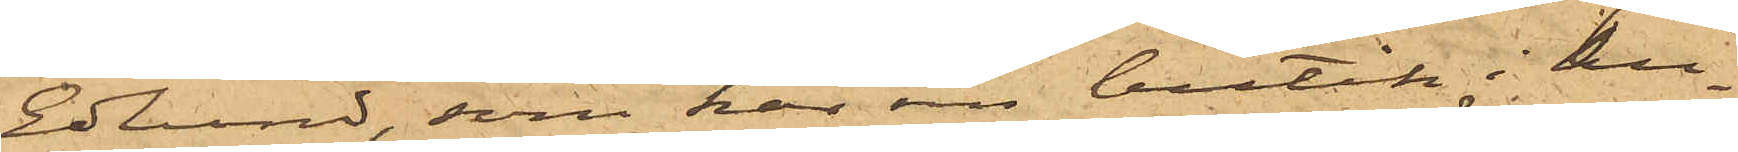Edlund, som har sin butik i hu¬
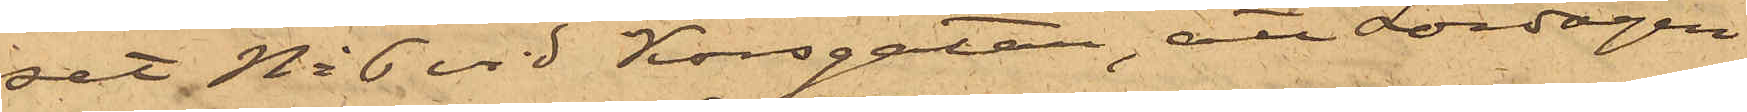set No 6 vid Korsgatan, att Lördagen
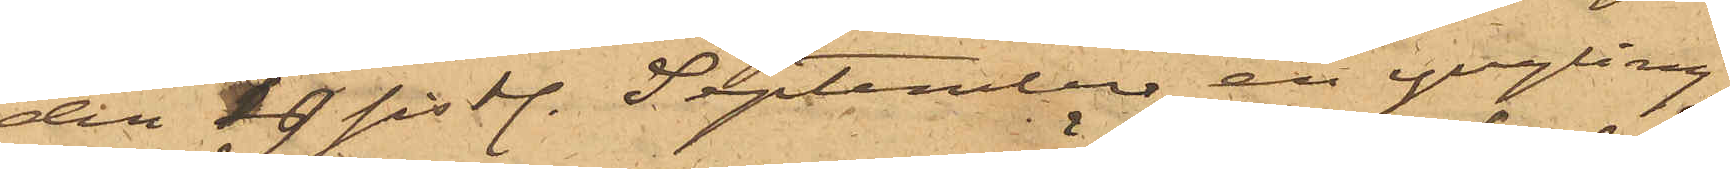den 19 sist. September en yngling,
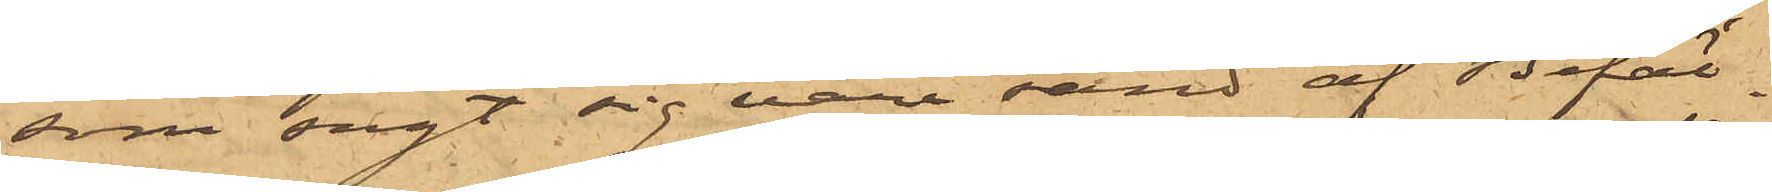som sagt sig vara sänd af Befäl¬
